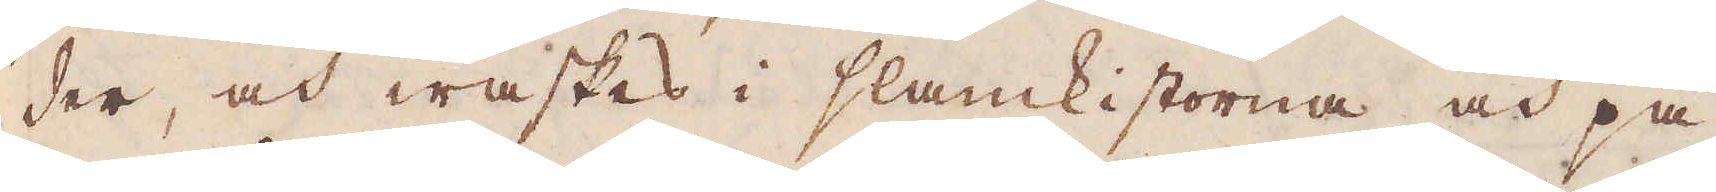der, och waskas i slamkistorna och på
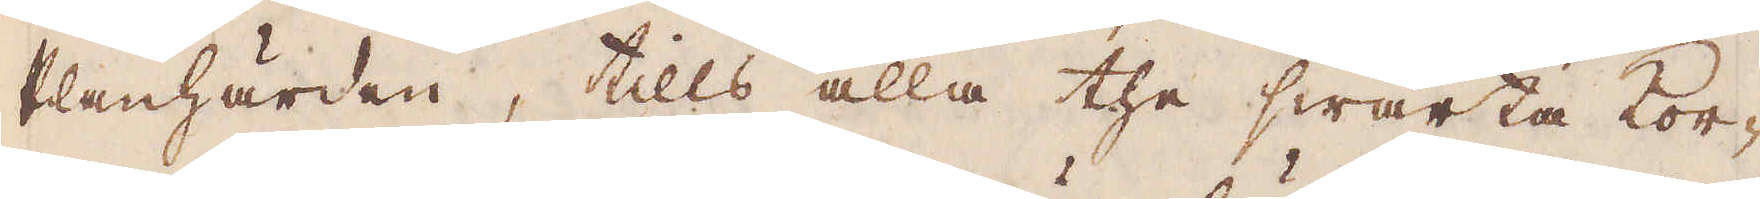Planhärden, tills alla the swarta kor-
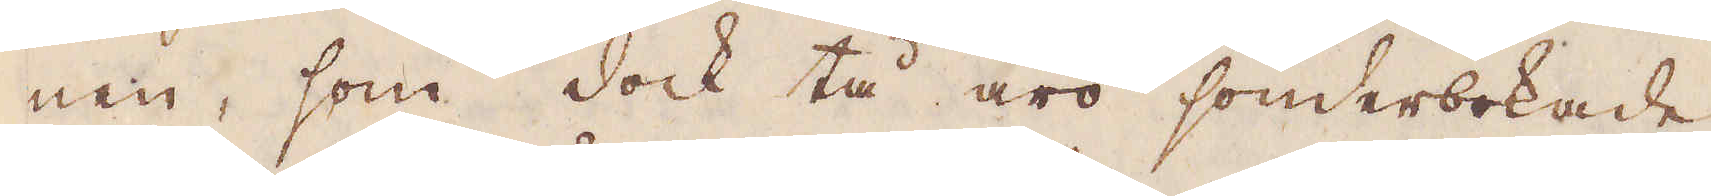nen, som dock tå äro sönderbokade
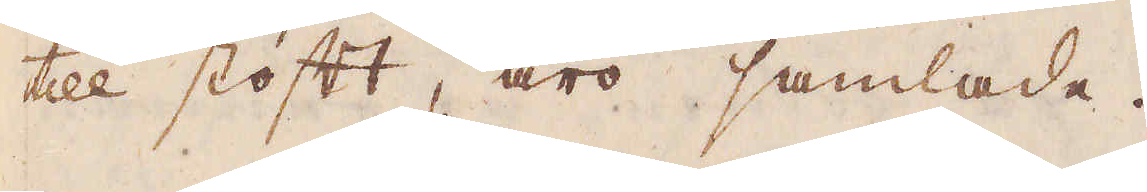till stoft, äro samlade.
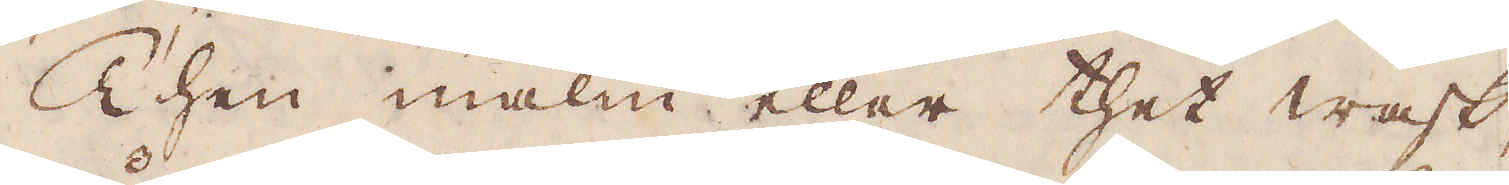Then malm eller thet wask,
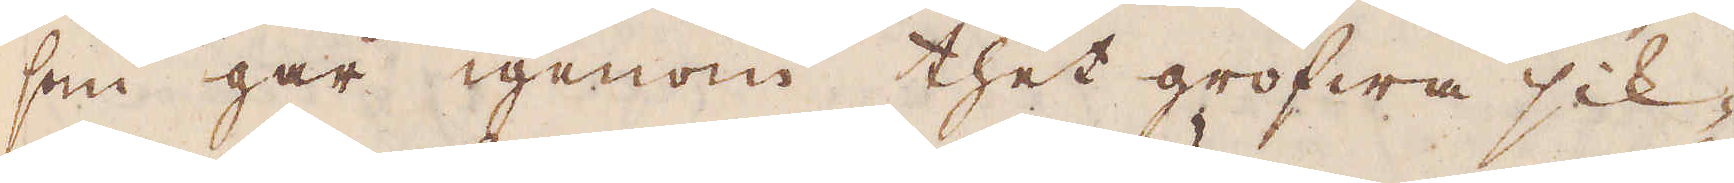som går igenom thet grofwa sik-
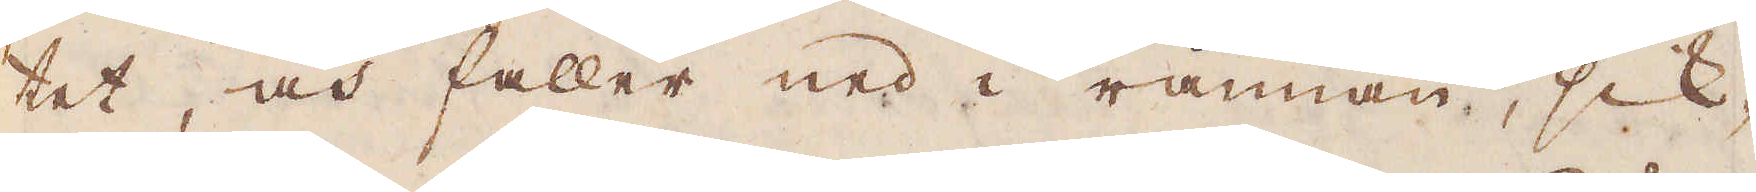tet, och faller ned i rännan, sik-
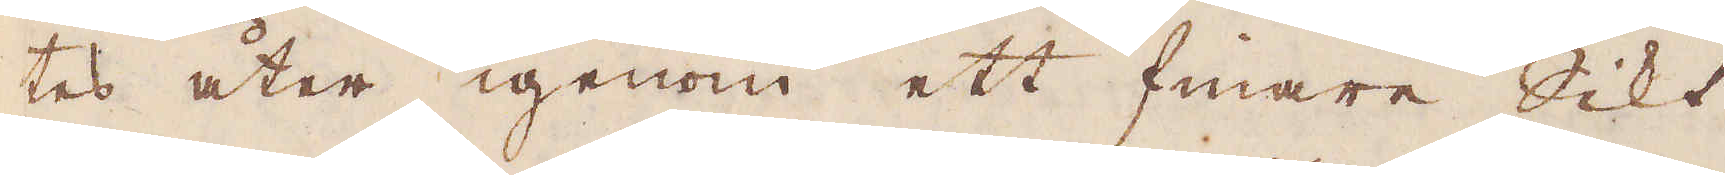tes åter igenom ett finare Sikt
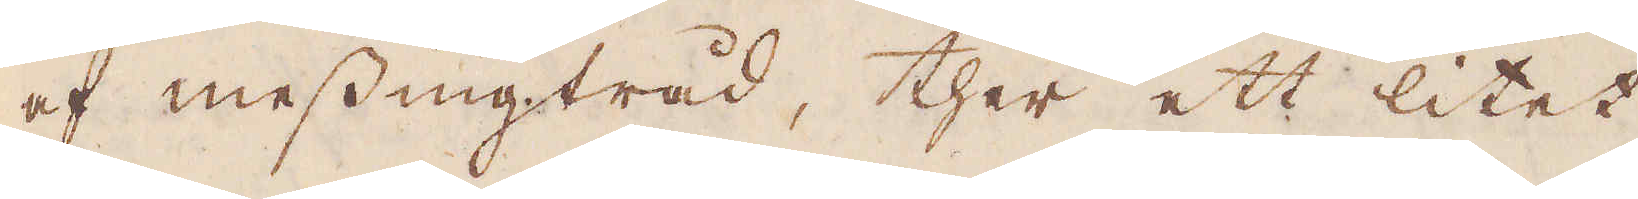af messingtråd, ther ett litet
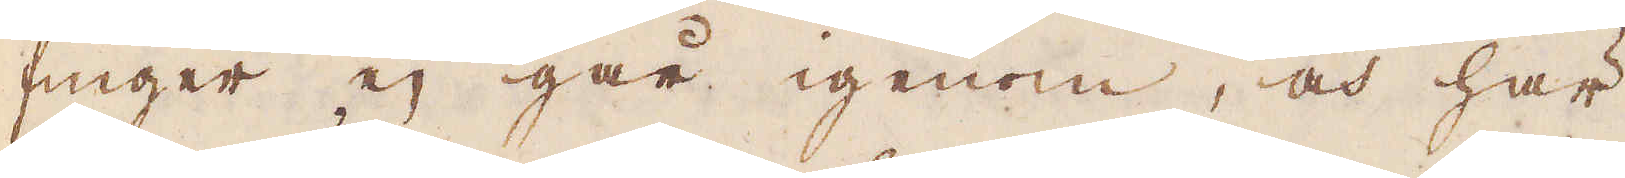finger ej går igenom, och här
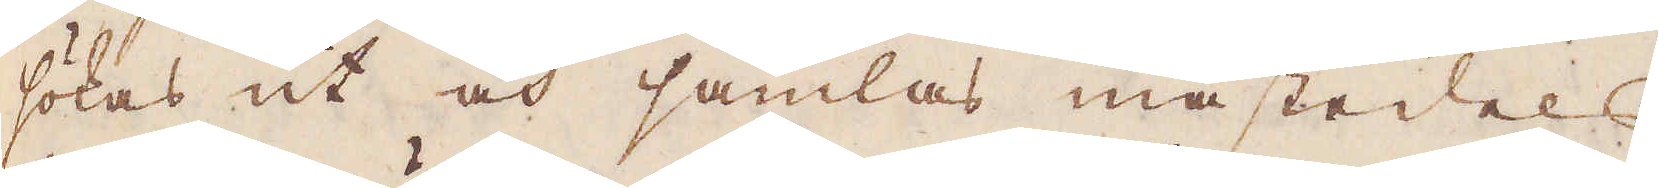sökas ut och samlas mästedels
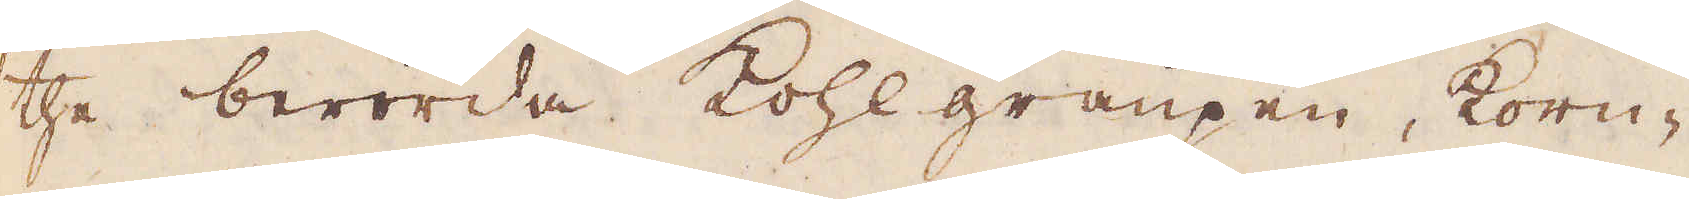the berörda kohlgraupen, korn-
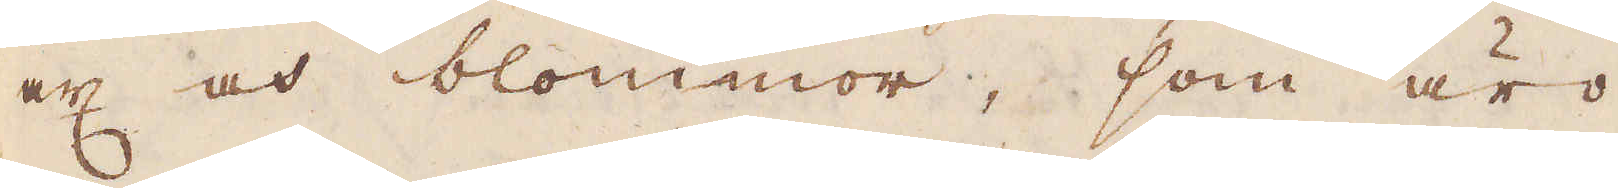ax och blommor, som äro
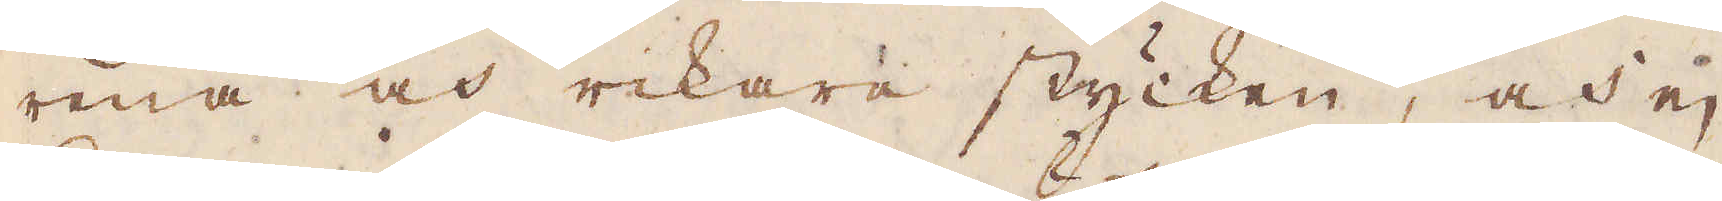rena och rikare stycken, och ej
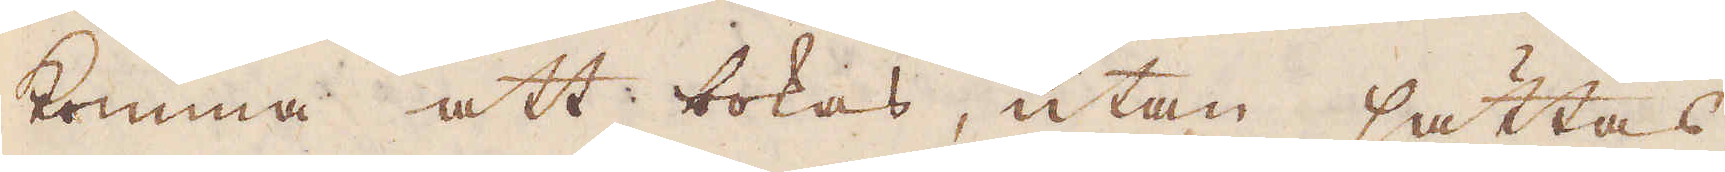komma att bokas, utan sättas
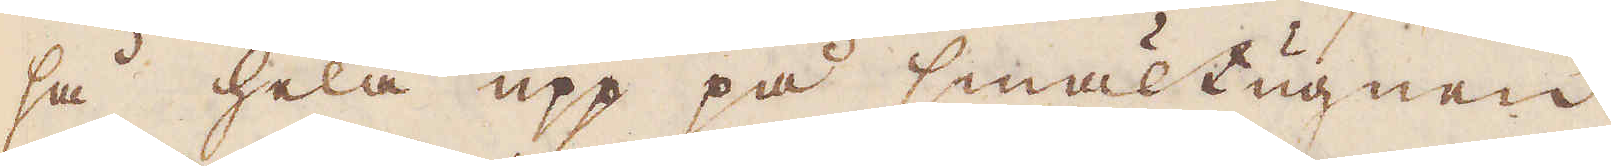så hela upp på smältugnen
